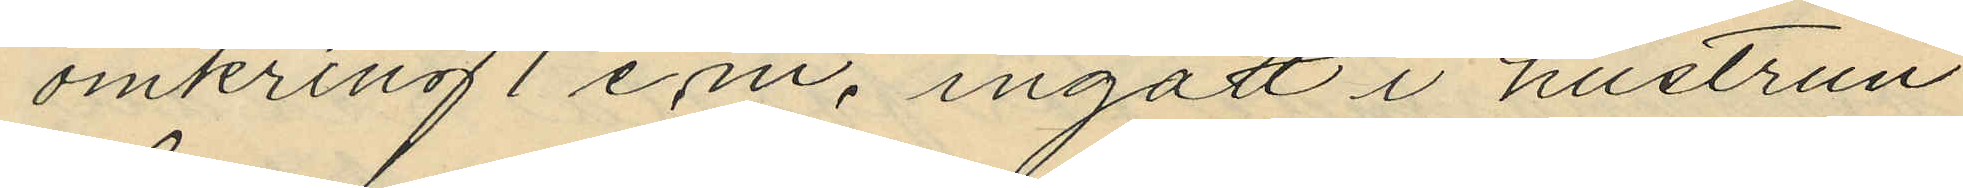omkring 1 e.m., ingått i hustrun
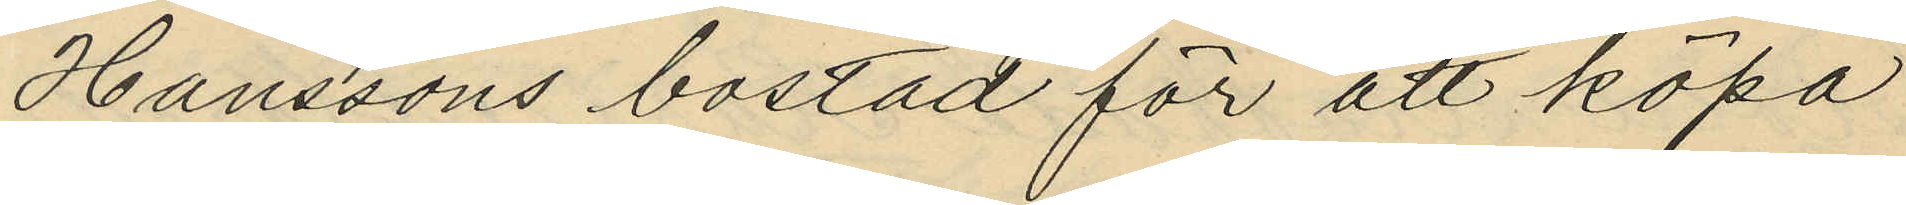Hanssons bostad för att köpa
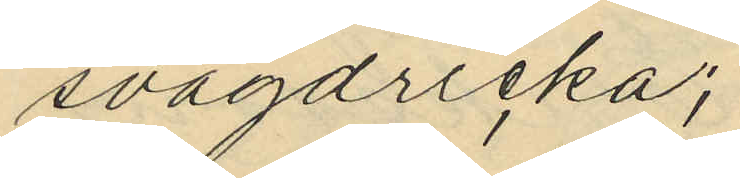svagdricka;
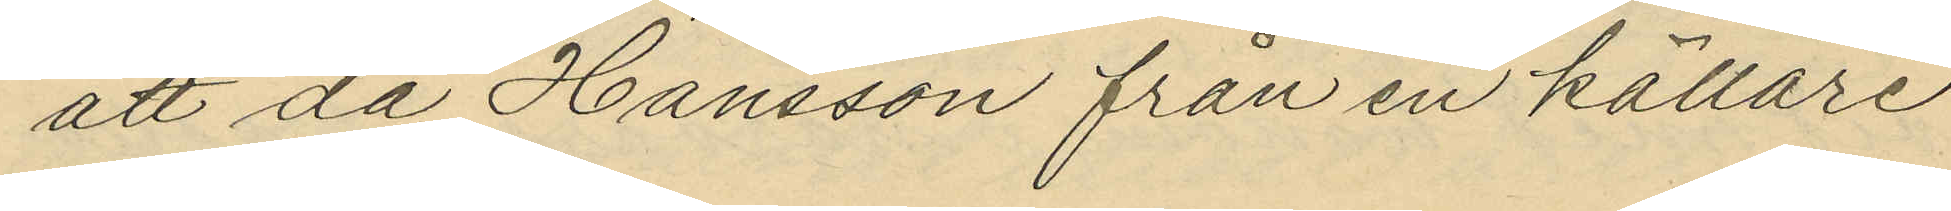att då Hansson från en källare
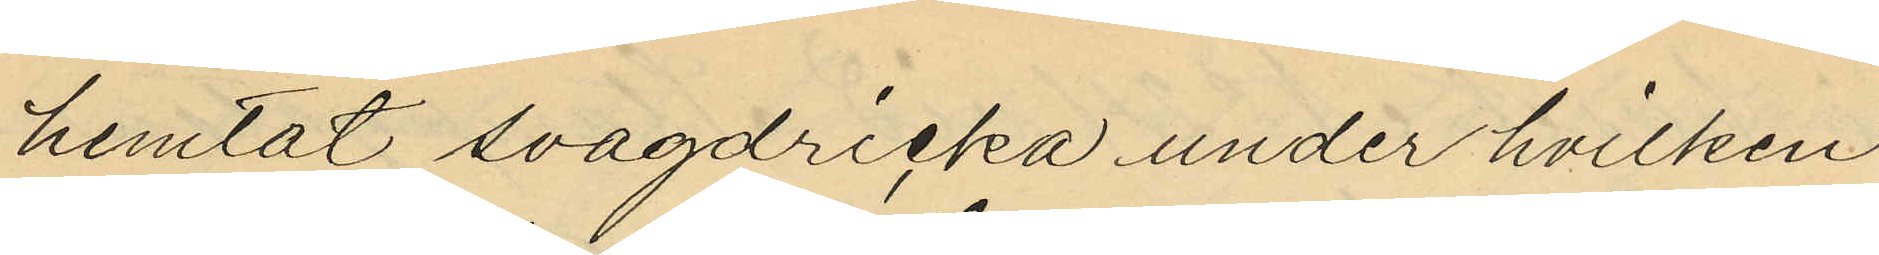hemtat svagdricka under hvilken
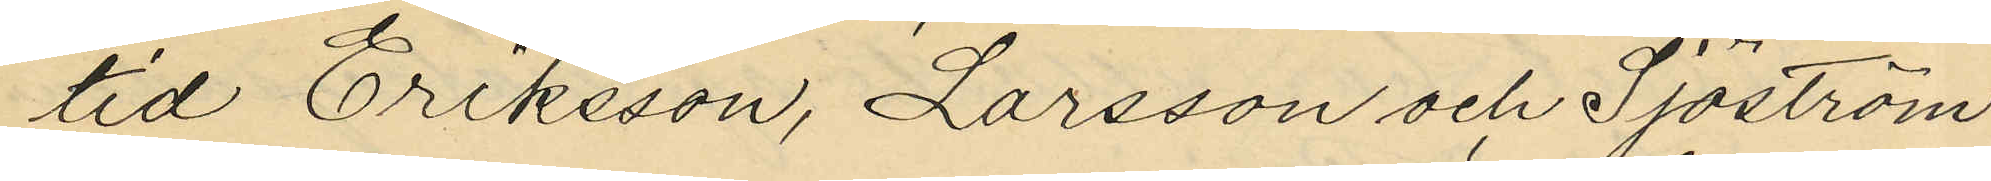tid Eriksson, Larsson och Sjöström
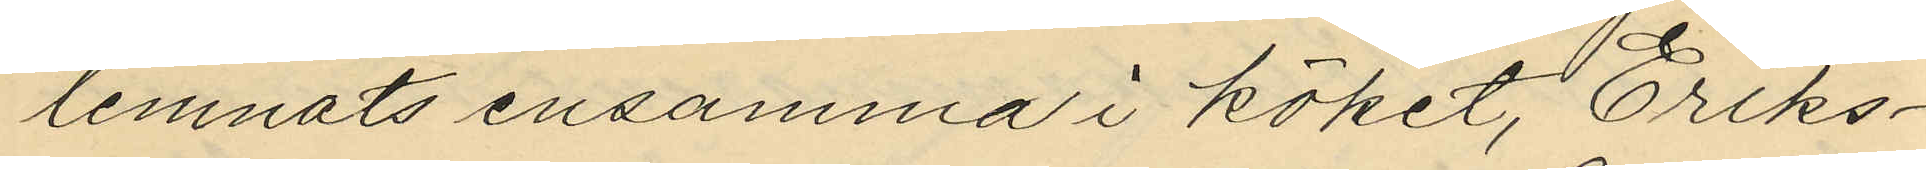lemnats ensamma i köket, Eriks¬
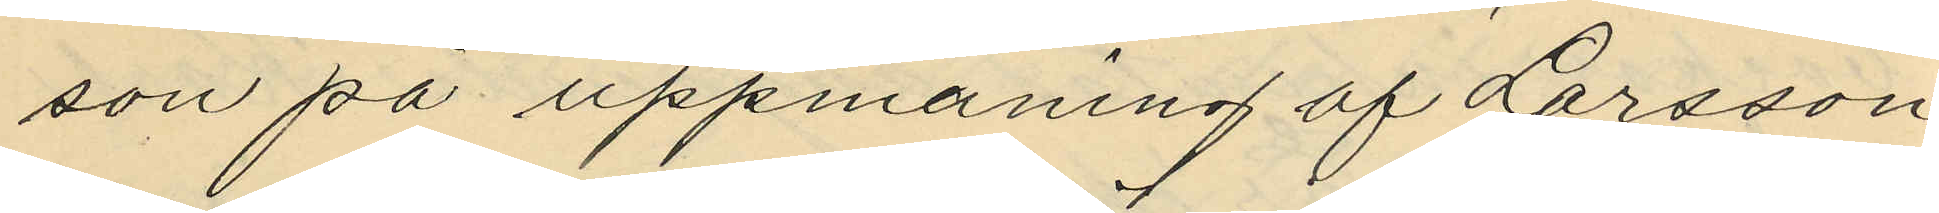son på uppmaning af Larsson
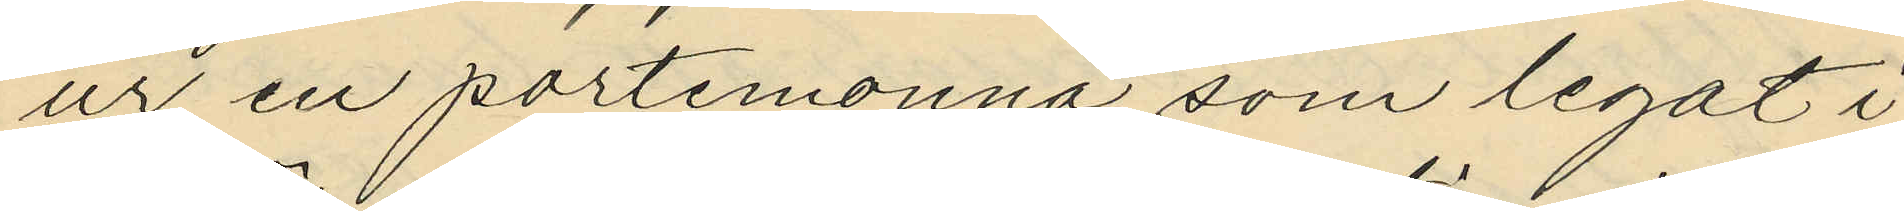ur en portmonnä som legat i
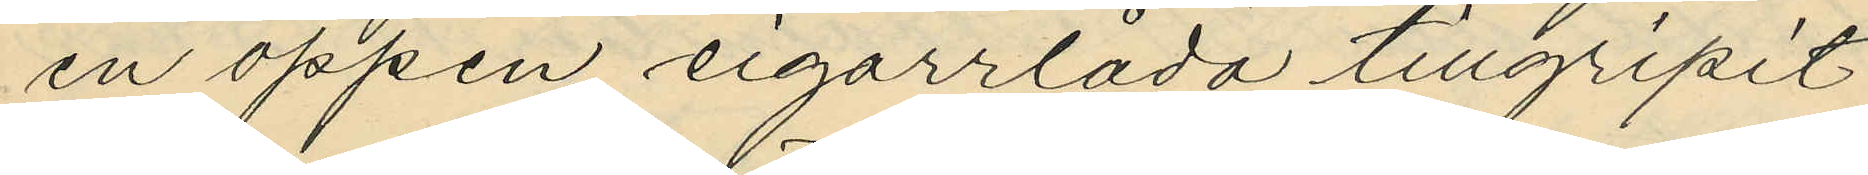en öppen cigarrlåda tillgripit
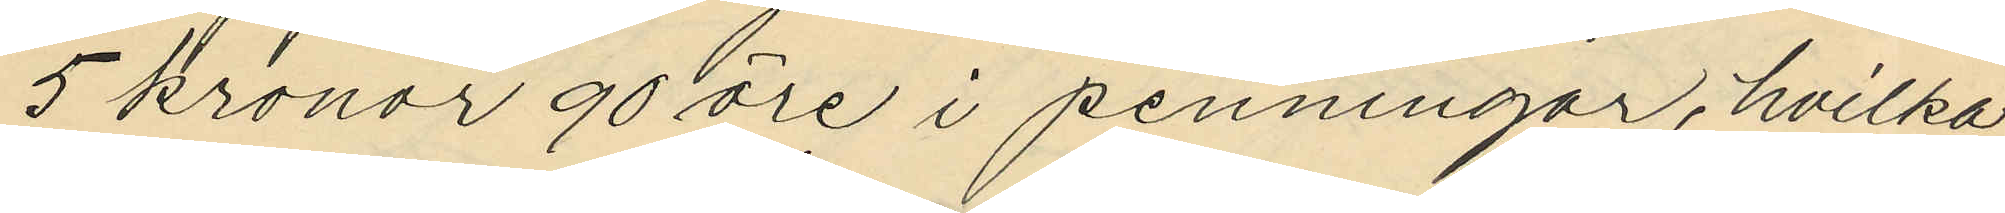5 kronor 90 öre i penningar, hvilka
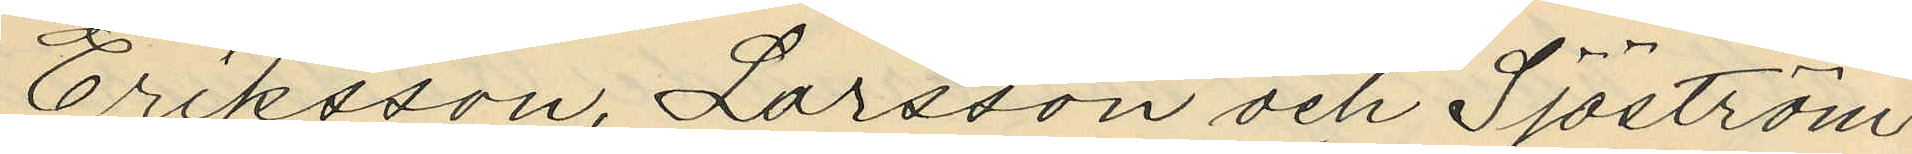Eriksson, Larsson och Sjöström
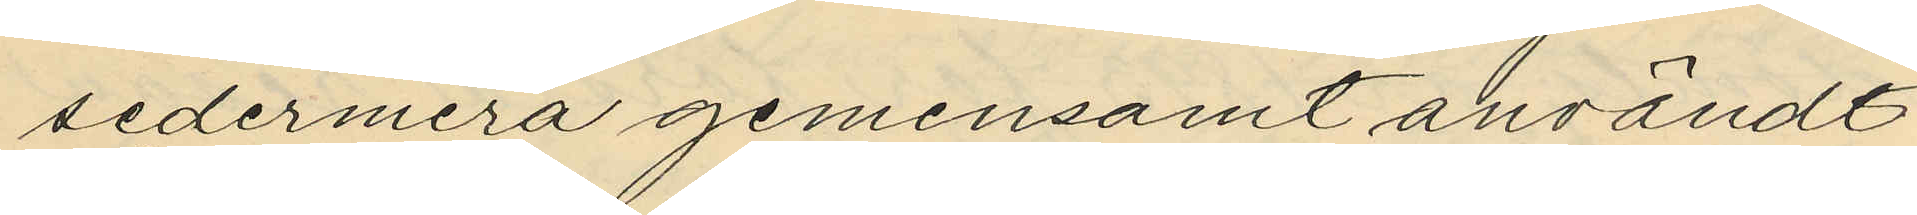sedermera gemensamt användt
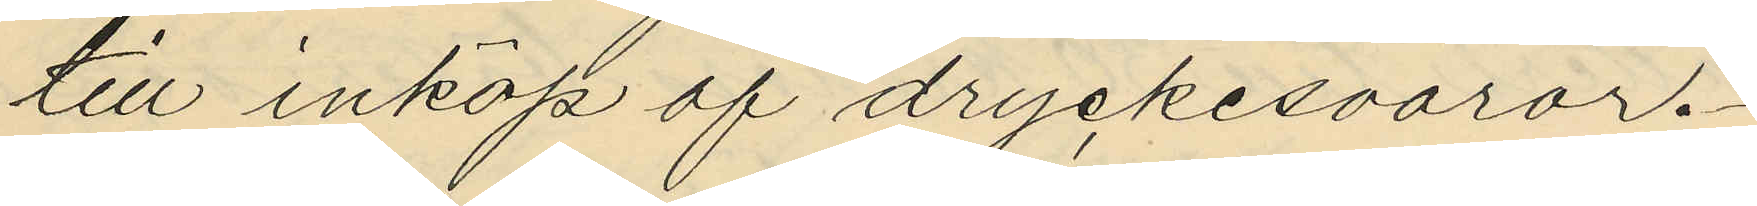till inköp af dryckesvaror.
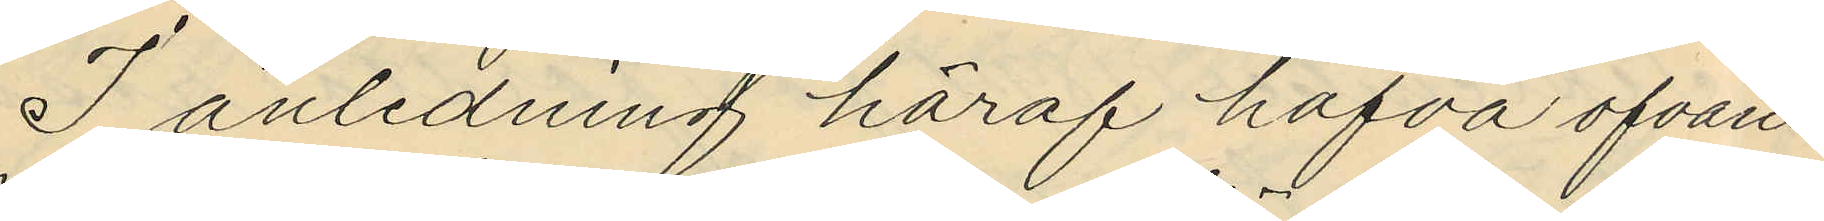I anledning häraf hafva ofvan¬
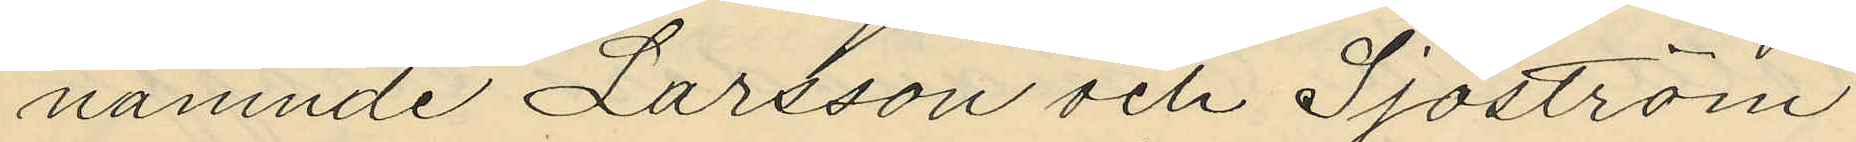nämnde Larsson och Sjöström
